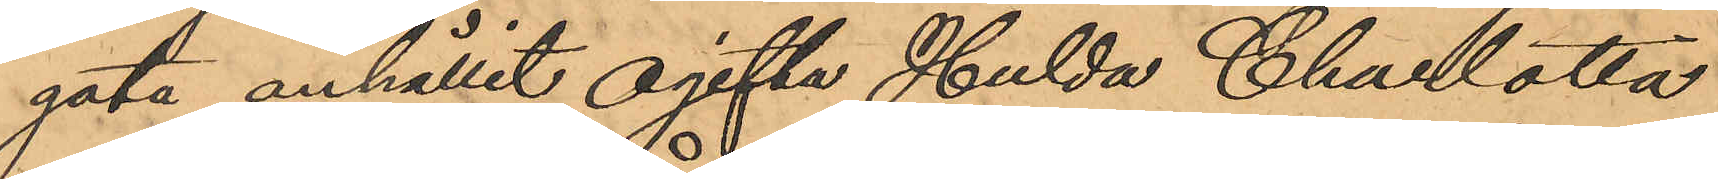gata anhållit ogifta Hulda Charlotta
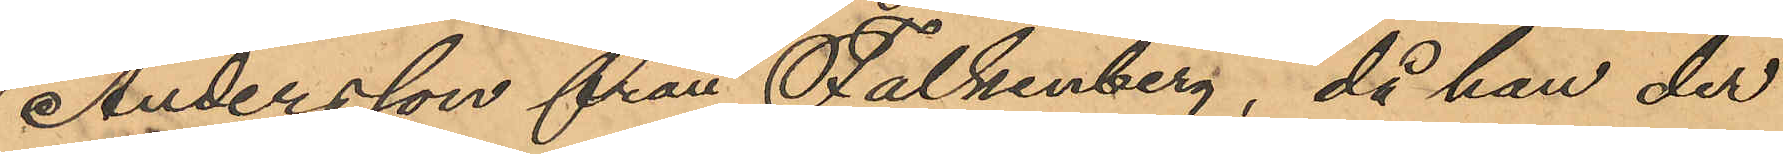Andersson från Falkenberg, då hon der
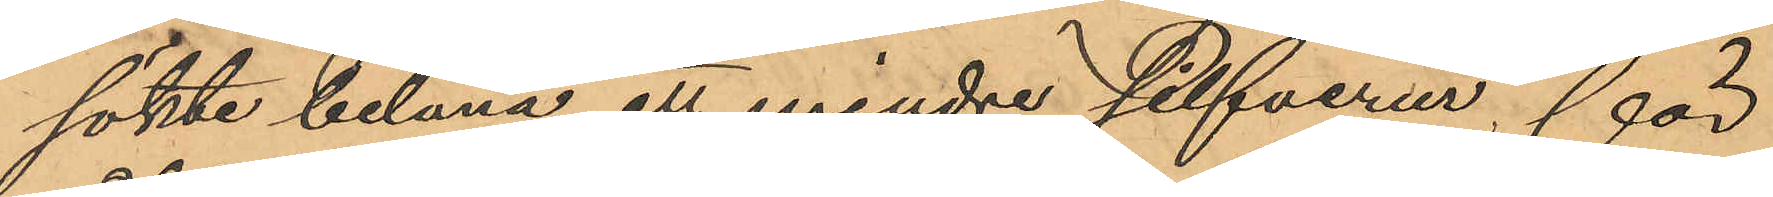sökte belåna ett mindre silfverur för
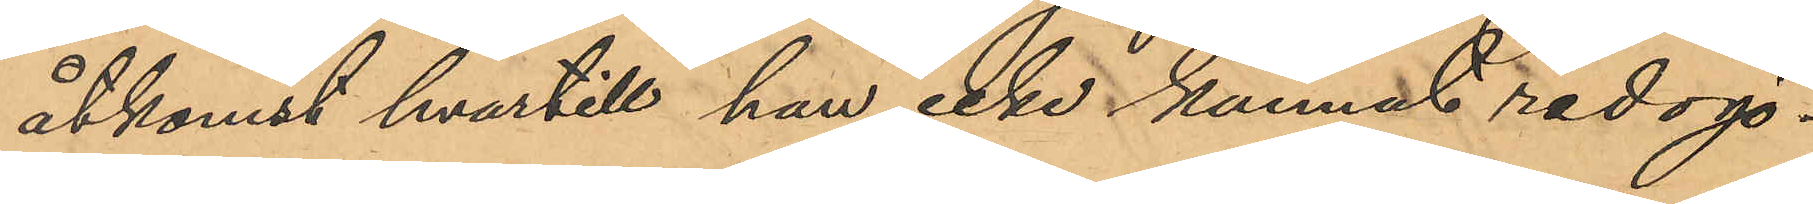åtkomst hvartill hon icke kunnat redogö¬
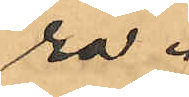ra.
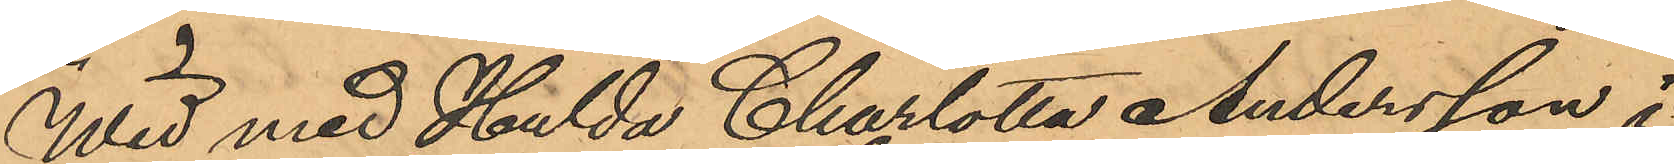Wid med Hulda Charlotta Andersson i
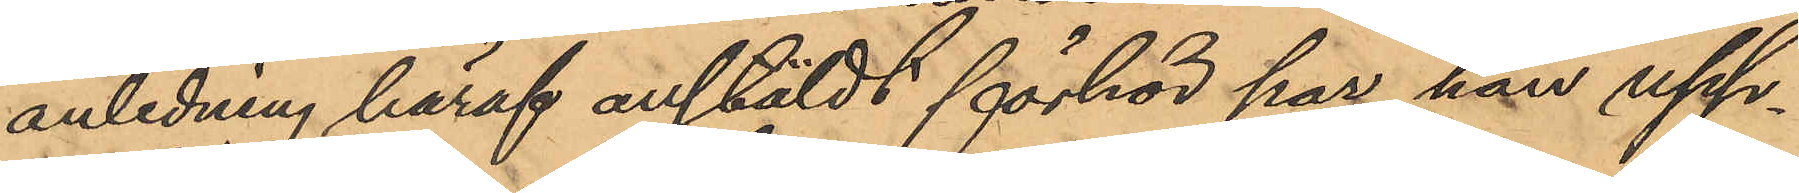anledning häraf anstäldt förhör har hon upp¬
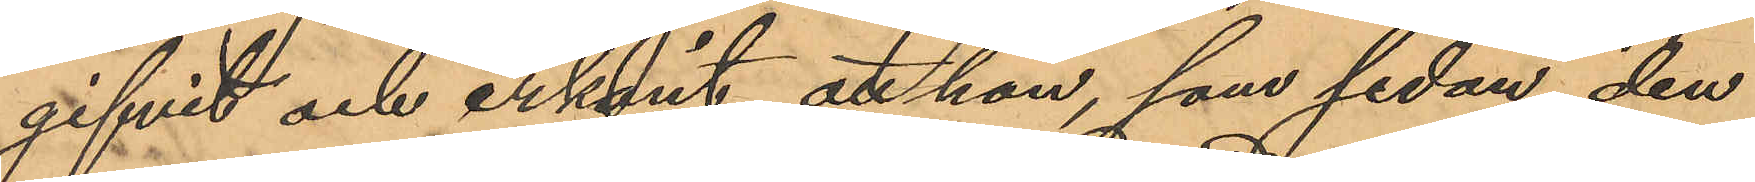gifvit och erkänt att hon, som sedan den
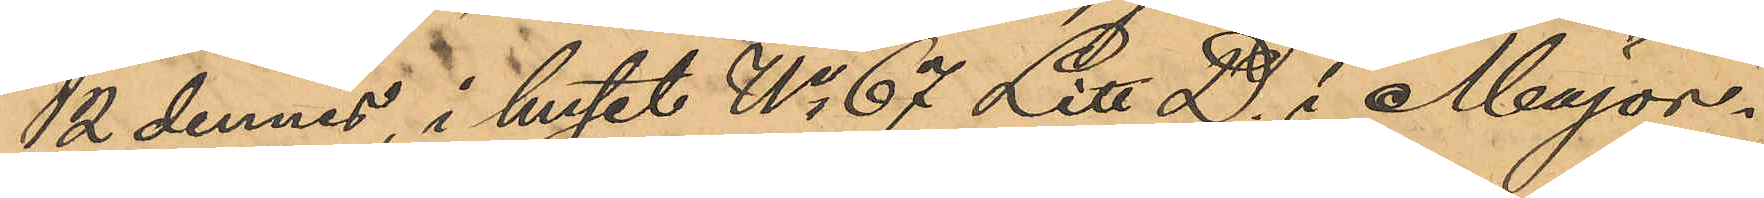2 dennes, i huset No 67 Litt D. i Major¬
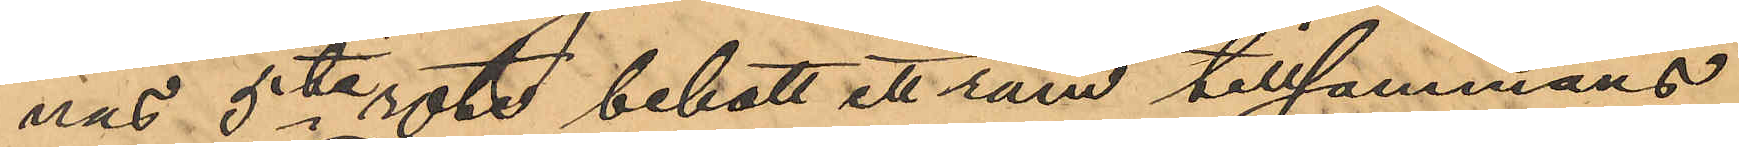nas 5te rote bebott ett rum tillsammans
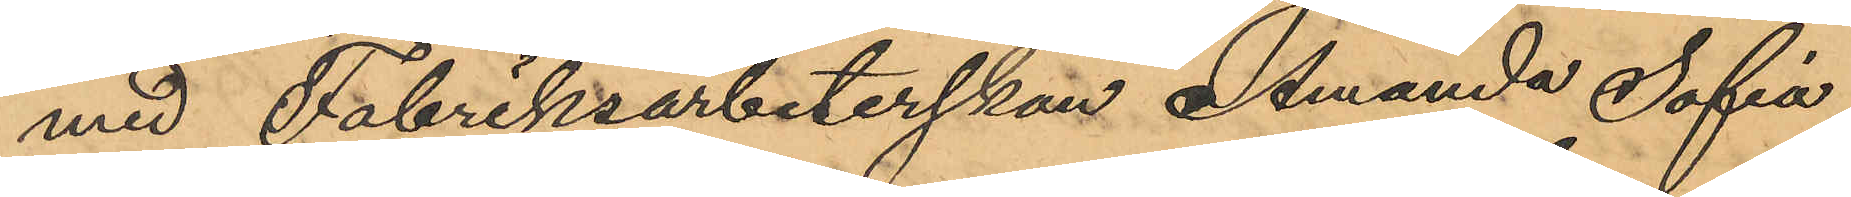med Fabriksarbeterskan Amanda Sofia
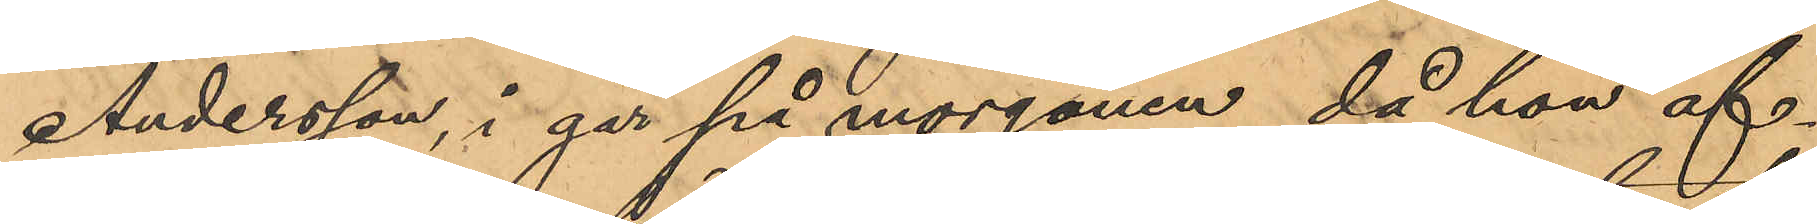Andersson, i går på morgonen, då hon af¬
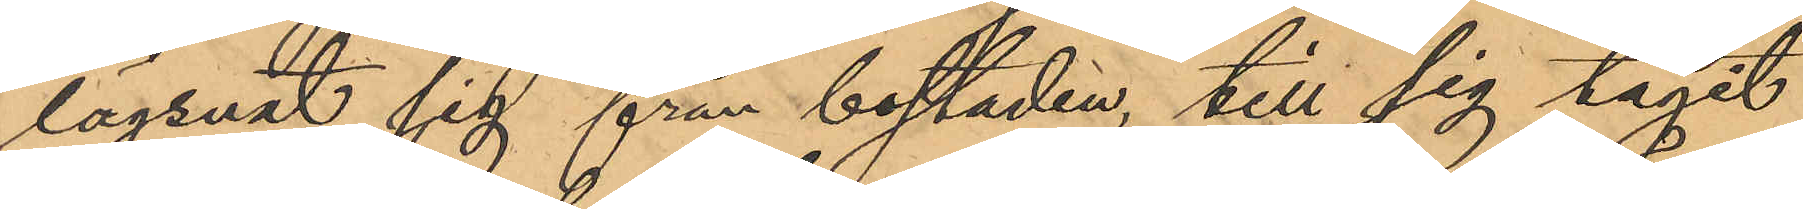lägsnat sig från bostaden, till sig tagit
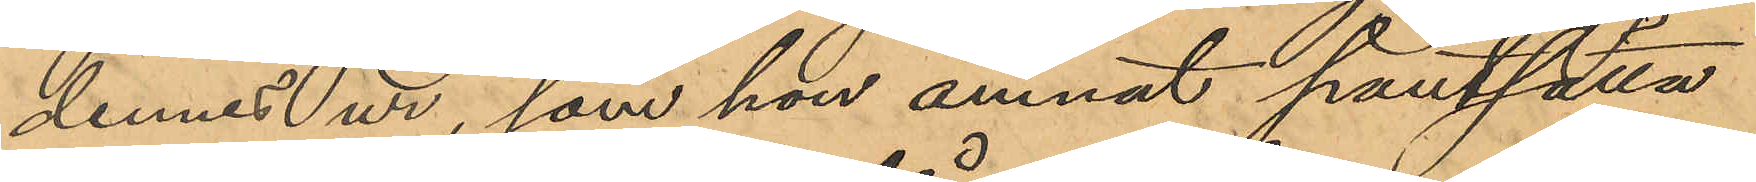dennes ur, som hon ämnat pantsätta
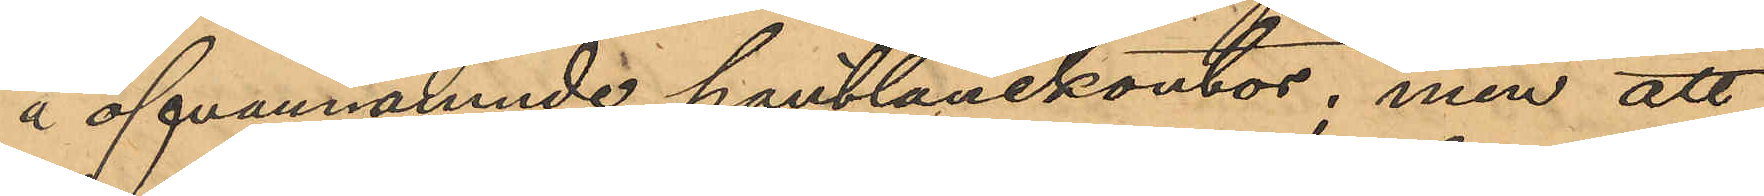å ofvannämnde pantlånekontor, men att
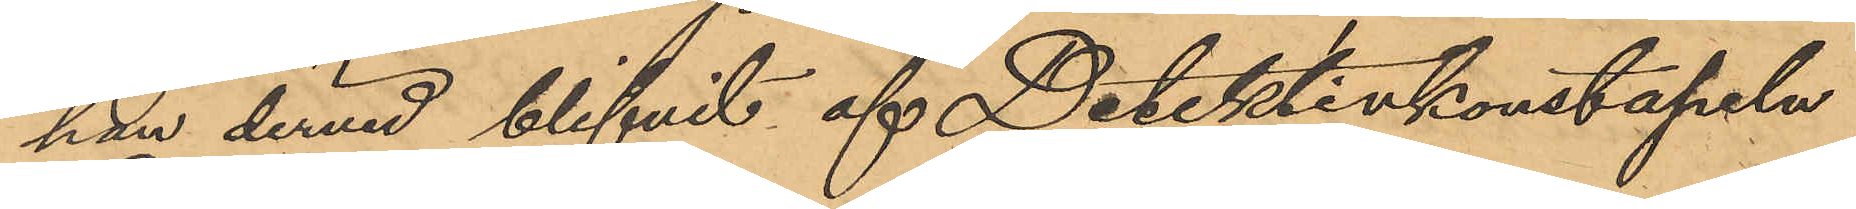hon dervid blifvit af Detektivkonstapeln
